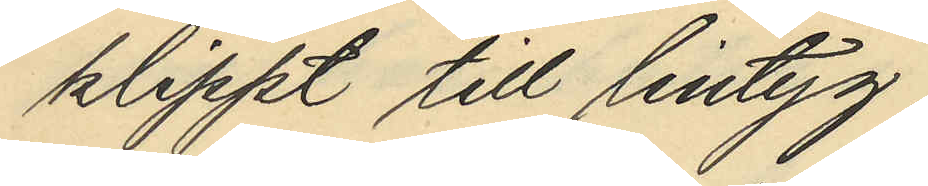klippt till lintyg.
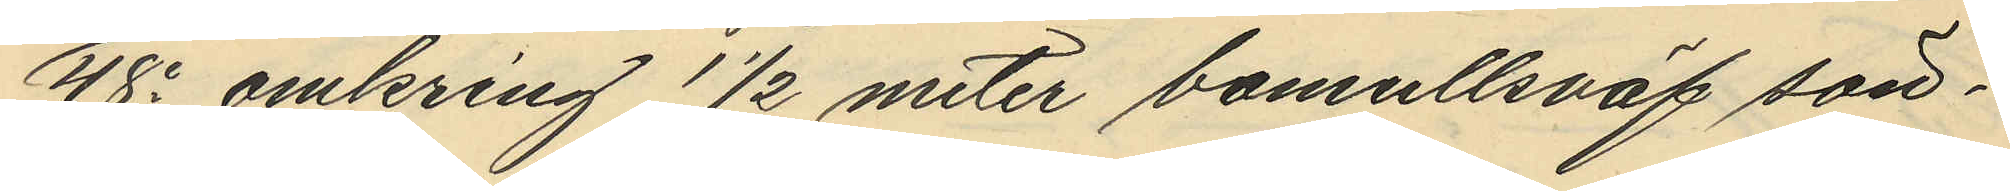48o omkring 1 1/2 meter bomullsväf sön¬
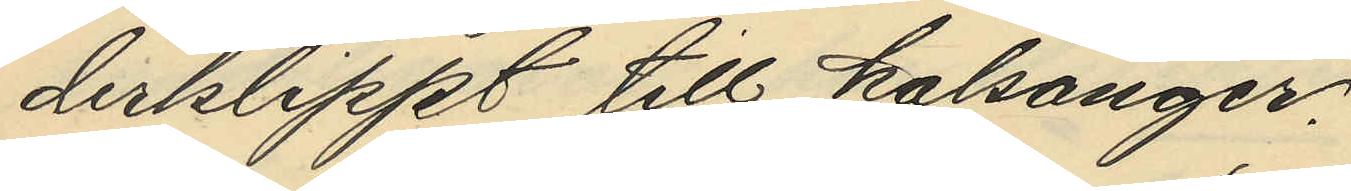derklippt till kalsonger.
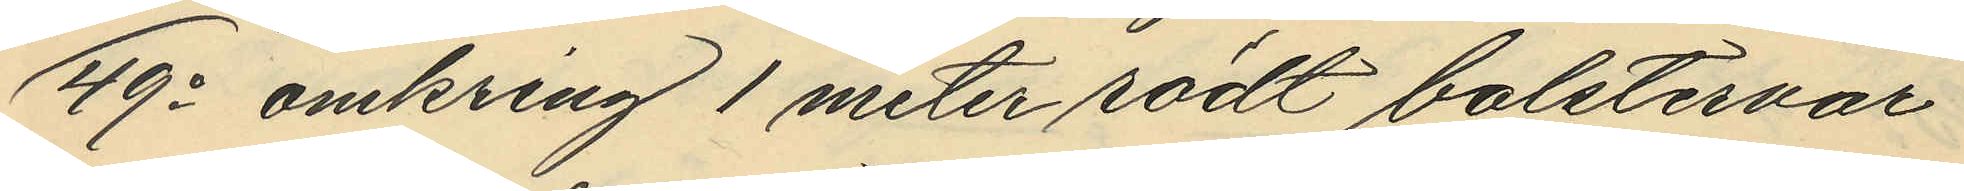49o omkring 1 meter rödt bolstervar
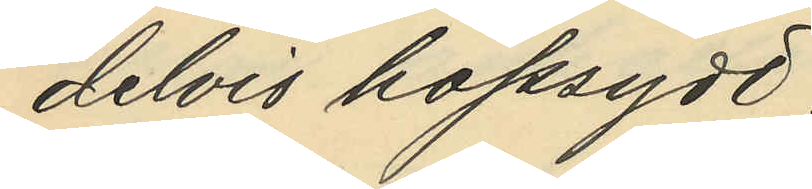delvis hopsydd.
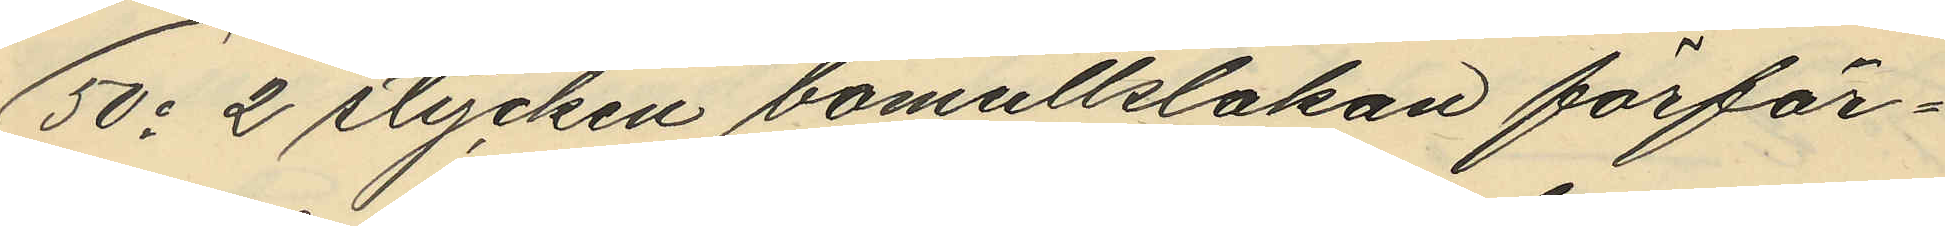50o 2 stycken bomullslakan förfär¬
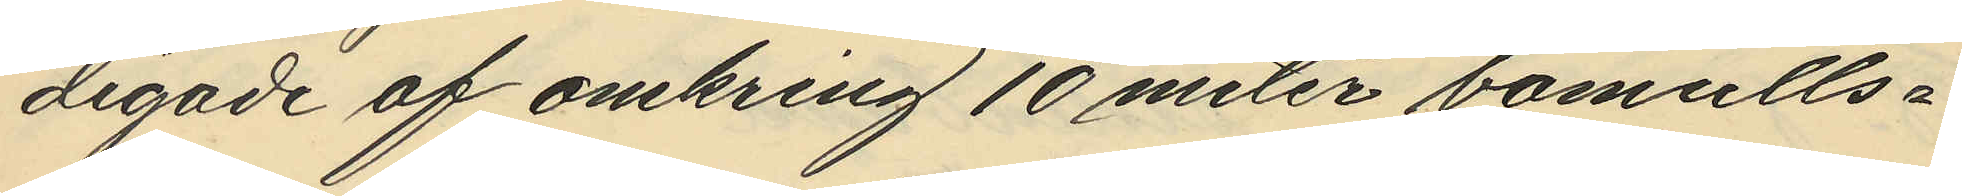digade af omkring 10 meter bomulls¬
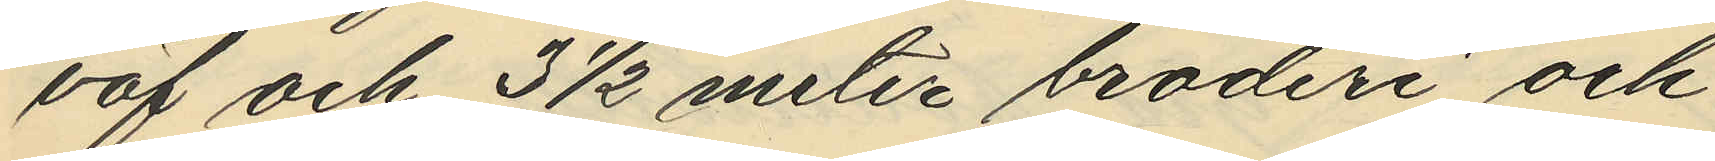väf och 3 1/2 meter broderi och
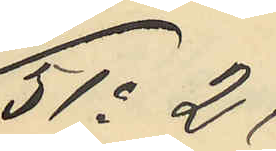51o 2
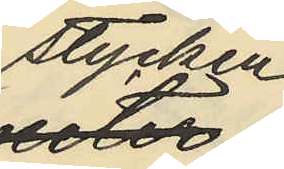stycken
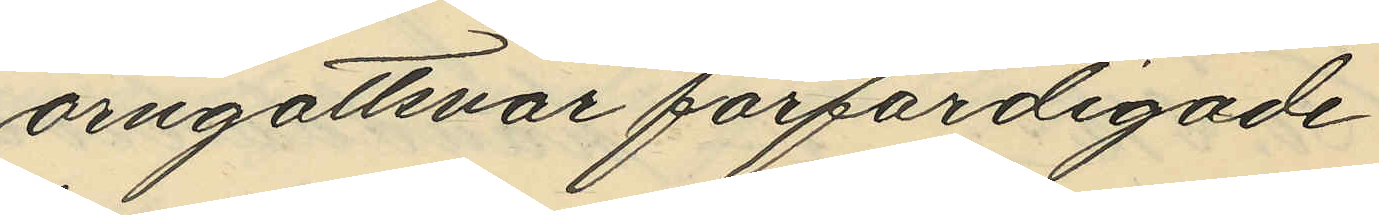örngottsvar förfärdigade
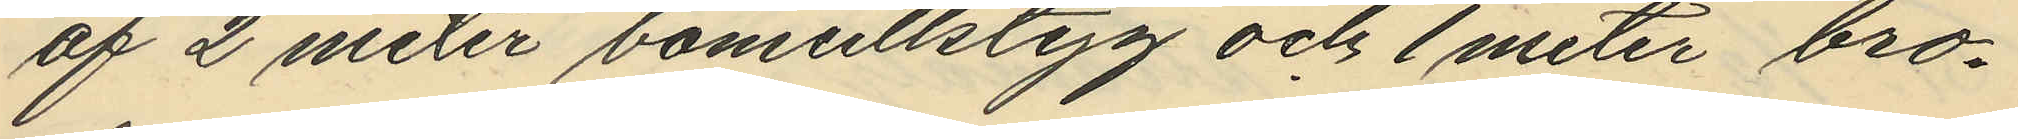af 2 meter bomullstyg och 1 meter bro¬
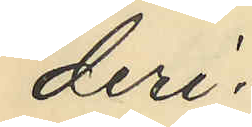deri
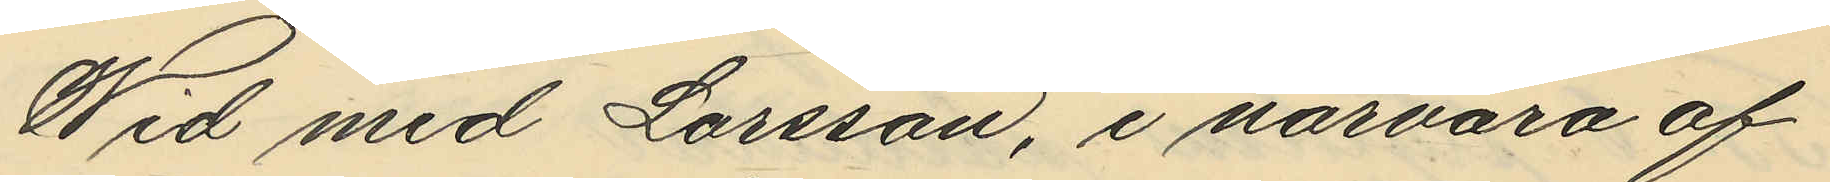Wid med Larsson, i närvaro af
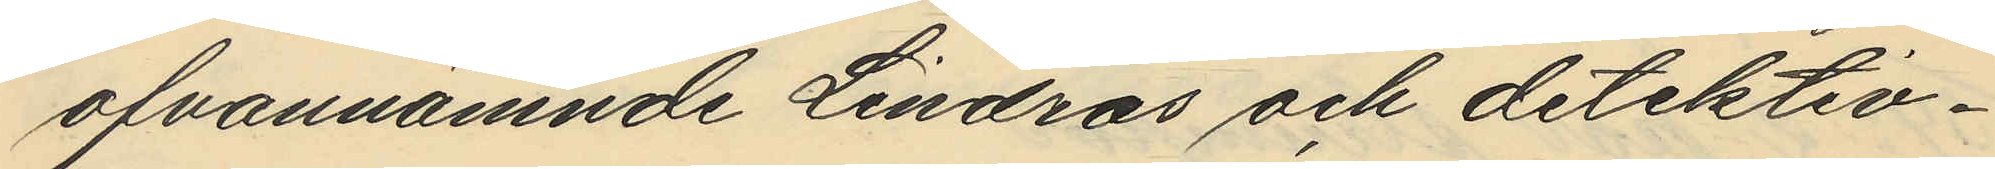ofvannämnde Lindros och detektiv¬
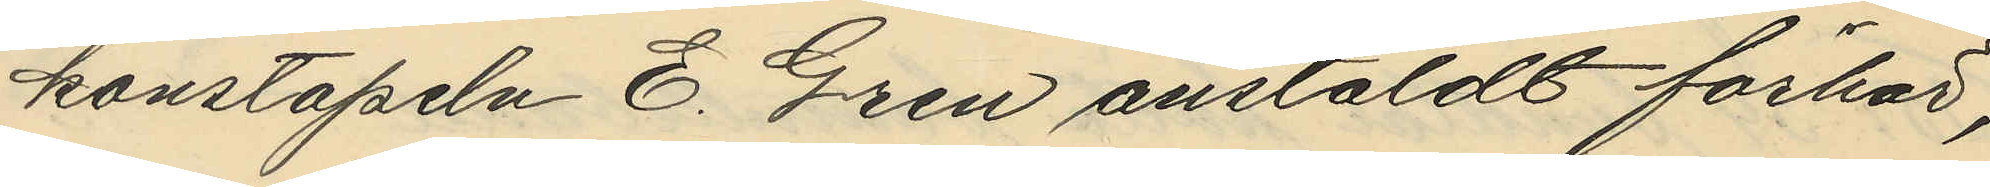konstapeln E. Gren anstäldt förhör,
